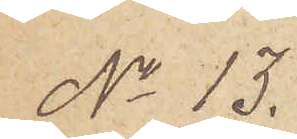No 13.
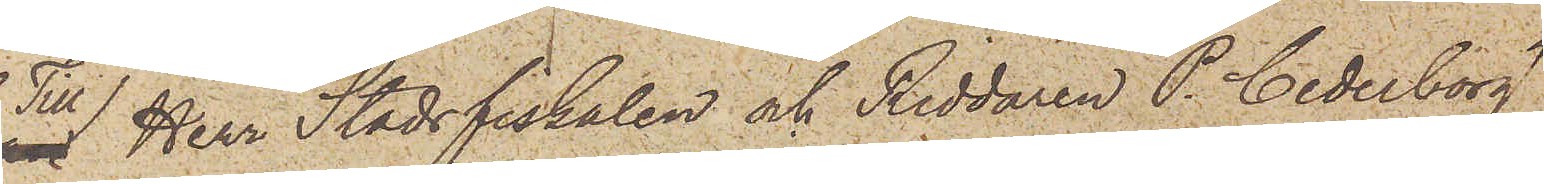Till Herr Stadsfiskalen och Riddaren P. Cederborg
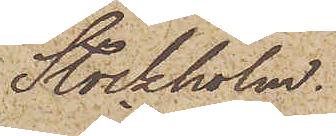Stockholm.
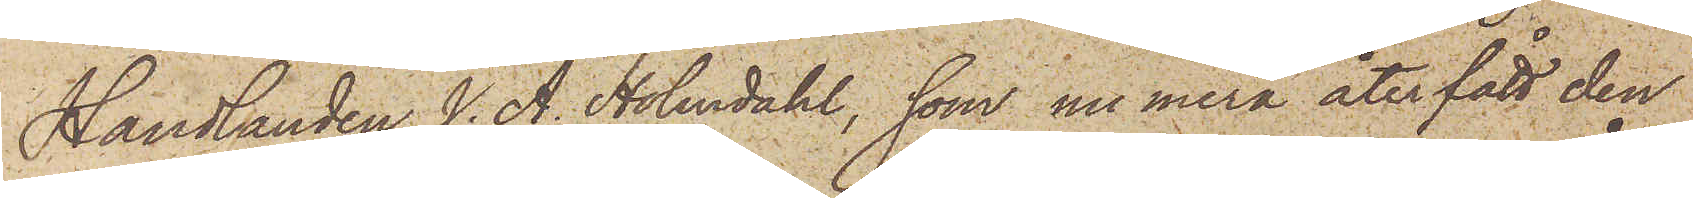Handlanden J. A. Holmdahl, som numera återfått den
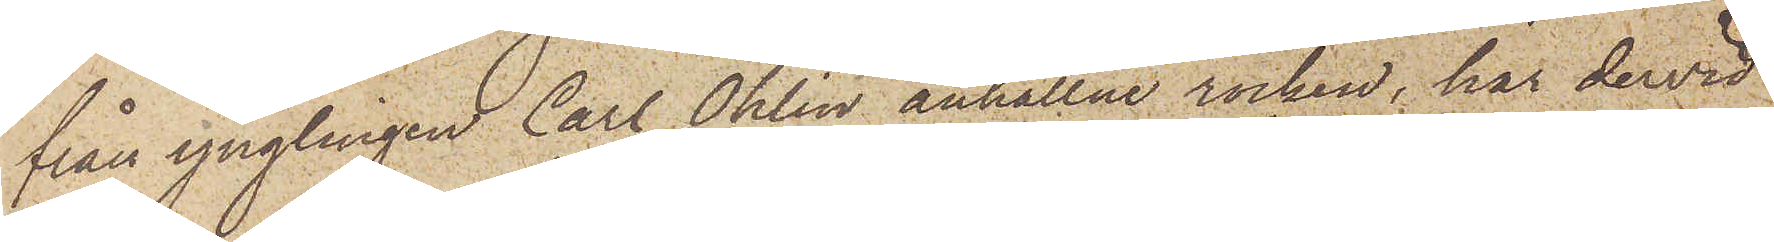från ynglingen Carl Ohlin anhållne rocken, har dervid
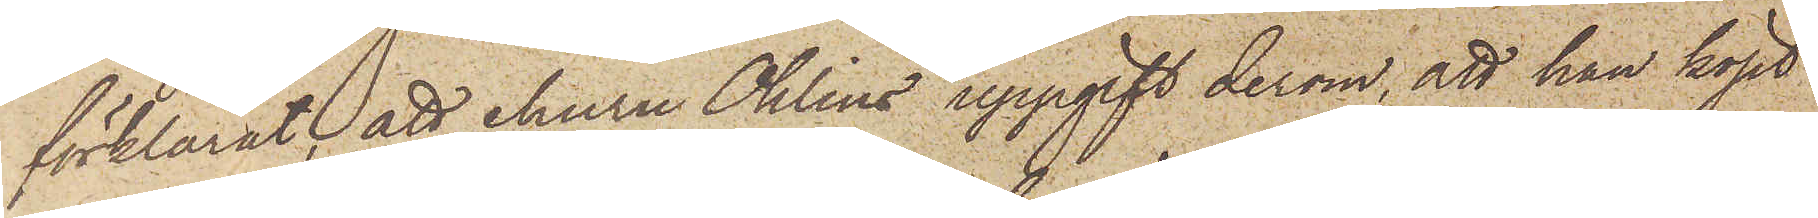förklarat, att ehuru Ohlins uppgift derom, att han köpt
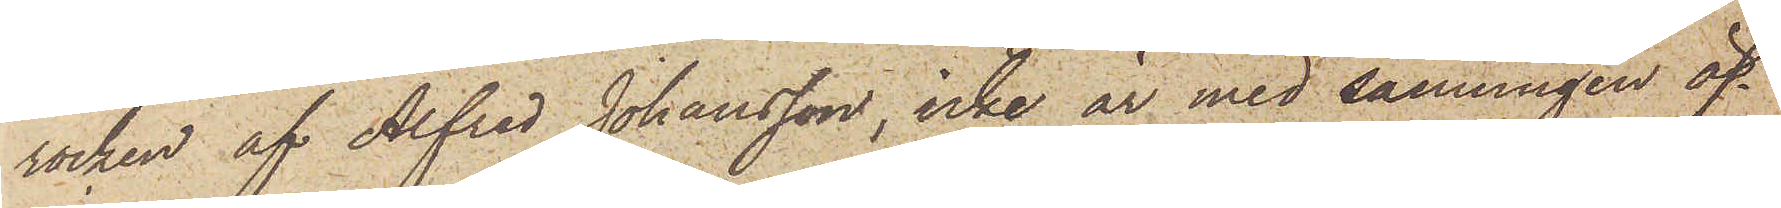rocken af Alfred Johansson, icke är med sanningen öf¬
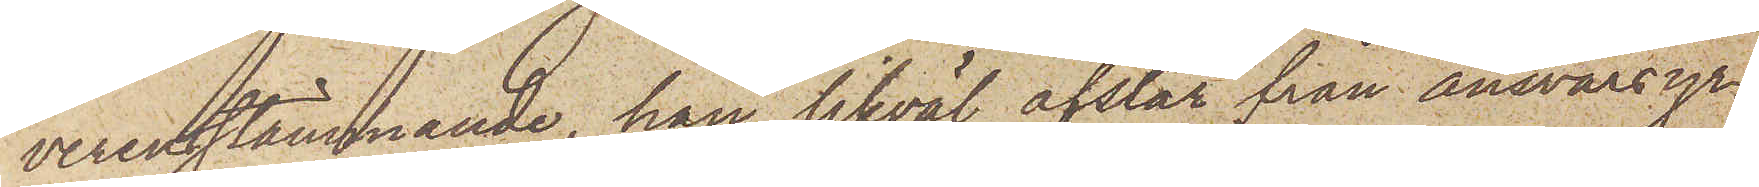verenstämmande, han likväl afstår från ansvarsyr¬
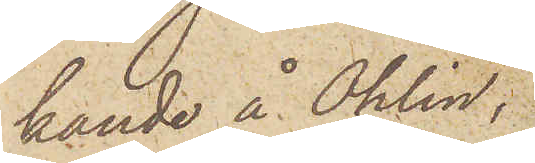kande å Ohlin,
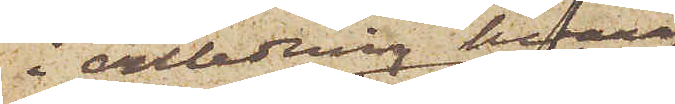i anledning hvaraf
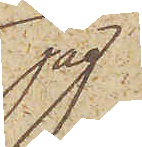jag
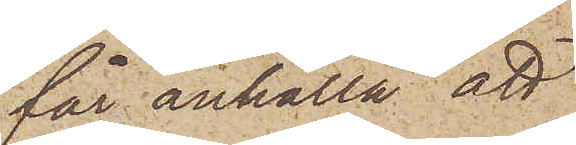får anhålla att
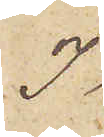I
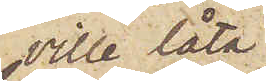ville låta
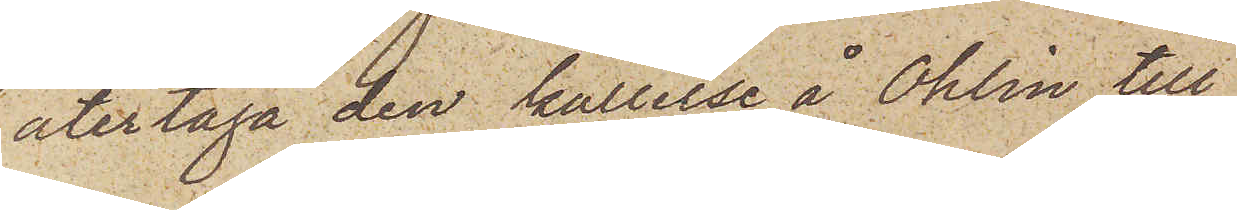återtaga den kallelse å Ohlin till
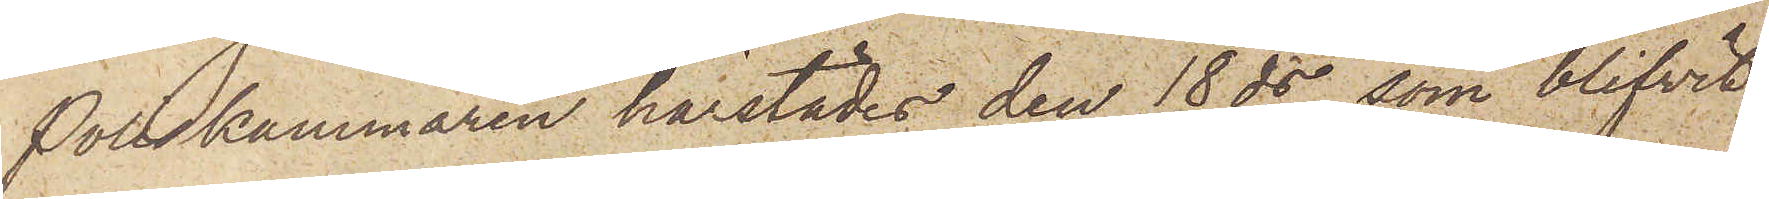Poliskammaren härstädes den 18 ds som blifvit
